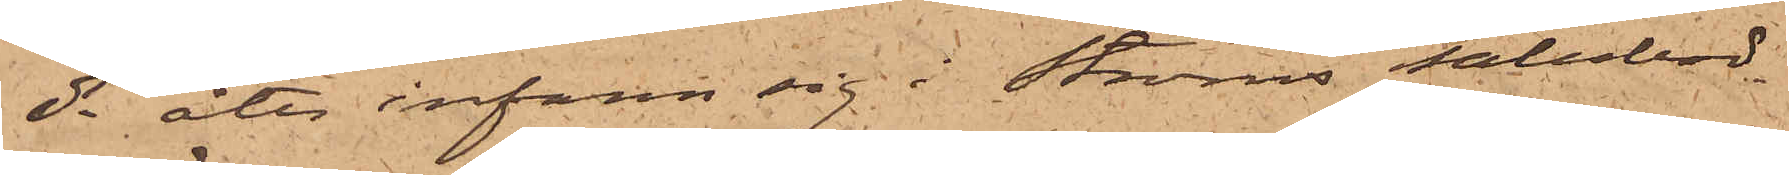ds åter infann sig i Ströms salubod
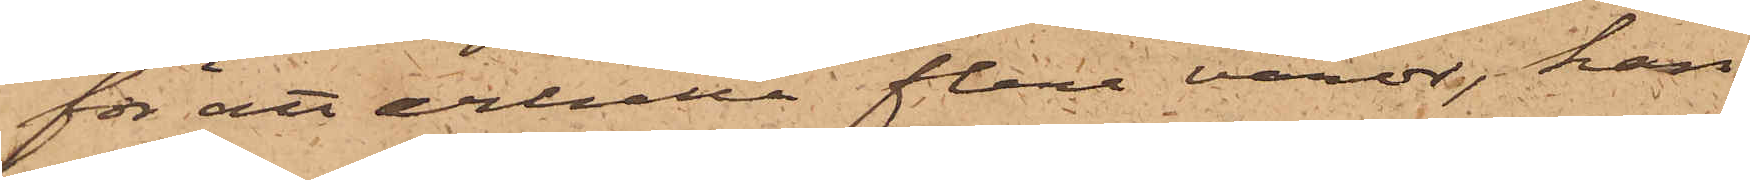för att erhålla flera varor, han
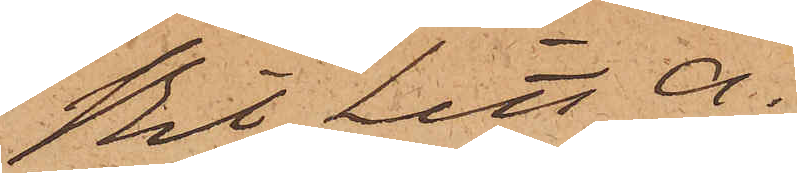Bil Litt A.
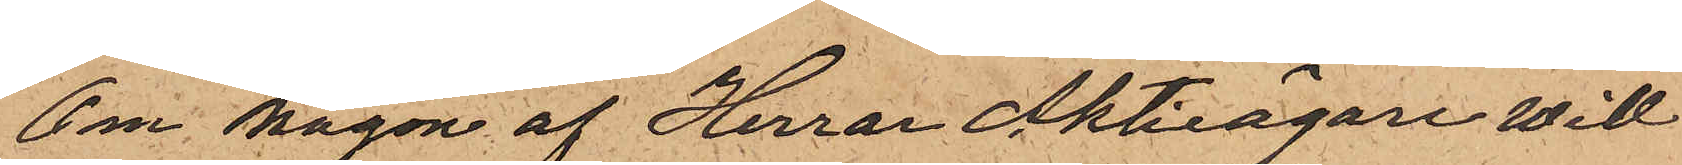Om någon af Herrar Aktieägare Will
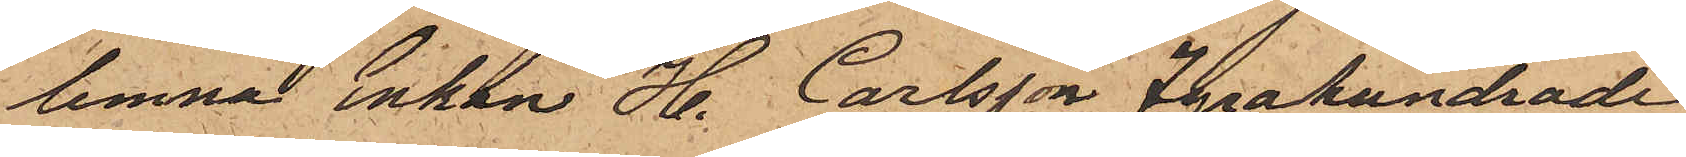lemna Enkan H. Carlsson Fyrahundrade
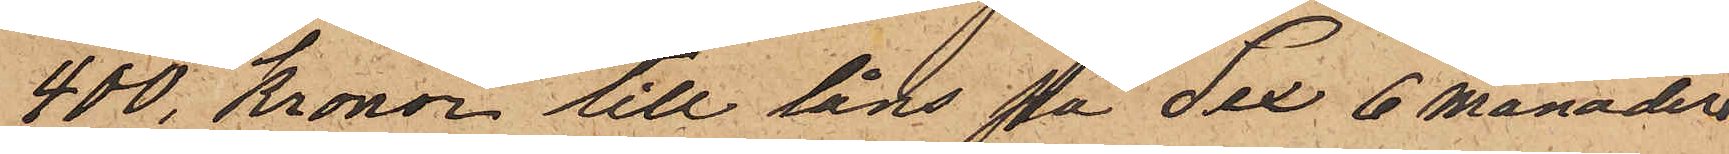400 Kronor till låns på Sex 6 månader
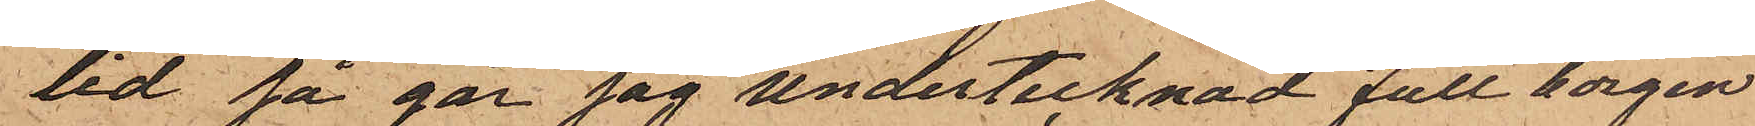tid så går jag undertecknad full borgen
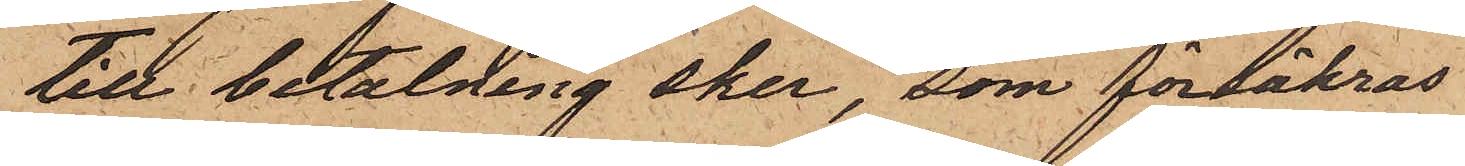till betalning sker, som försäkras
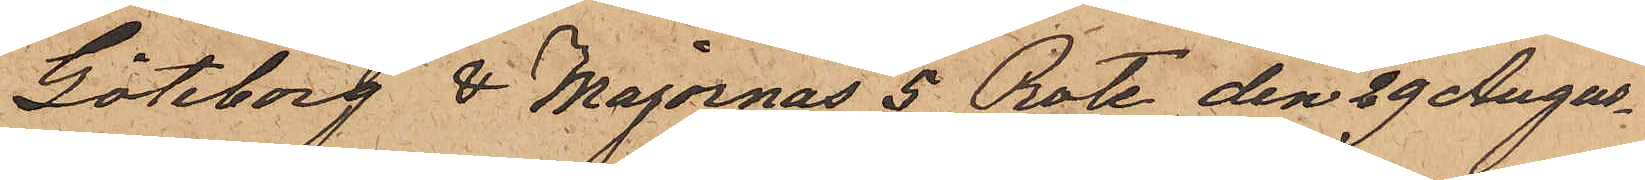Göteborg & Majornas 5 Rote den 29 Augus¬
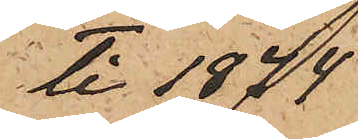ti 1874
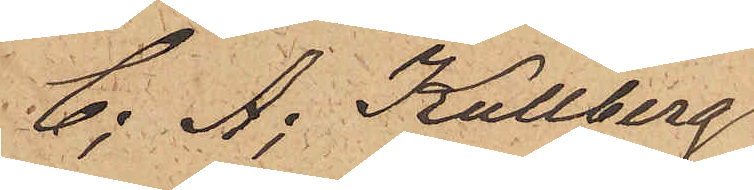C; A; Kullberg
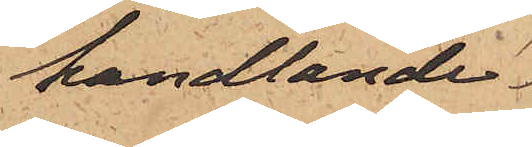handlande
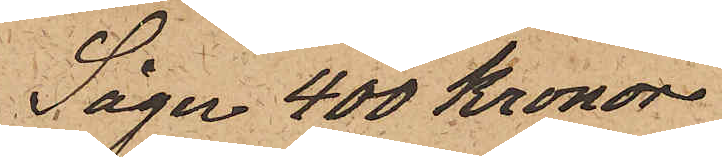Säger 400 Kronor
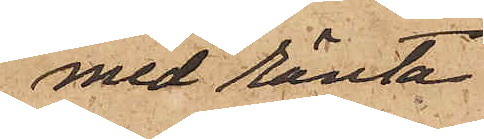med ränta
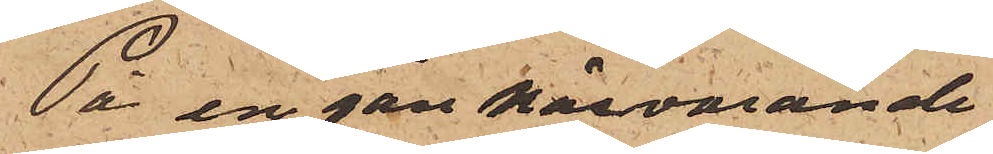På en gån härvarande
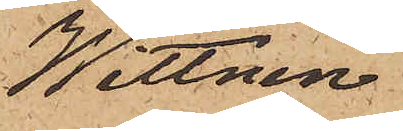Wittnen
